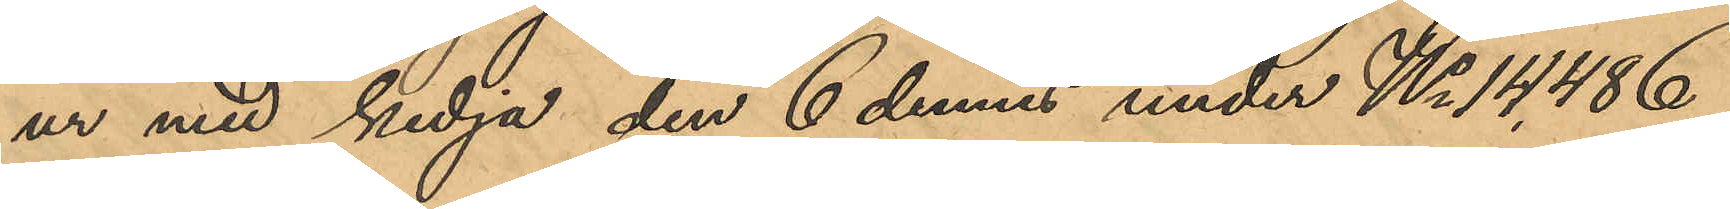ur med kedja den 6 dennes under No 14,486
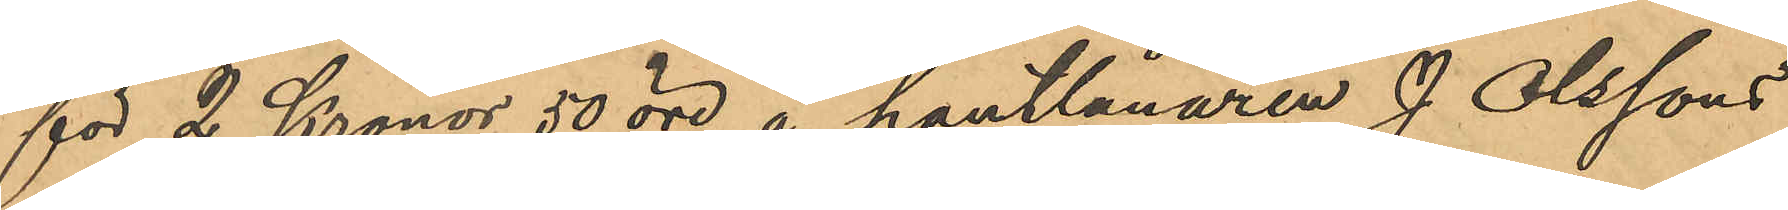för 2 Kronor 50 öre å pantlånaren J. Olssons
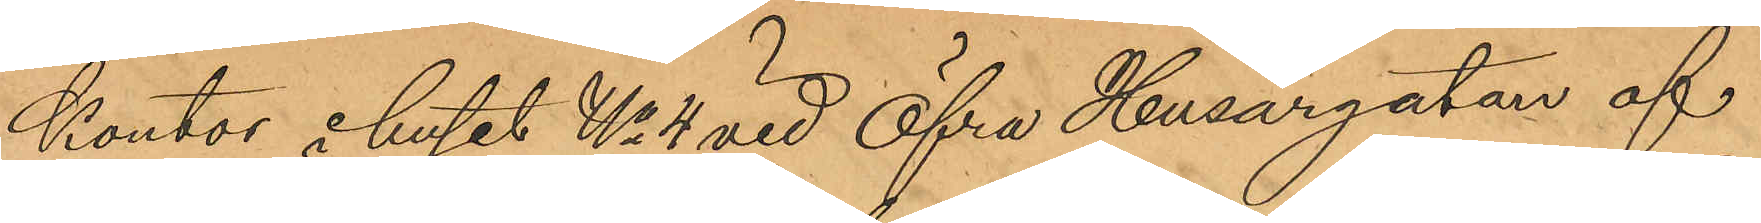kontor i huset No 4 vid Öfra Husargatan af
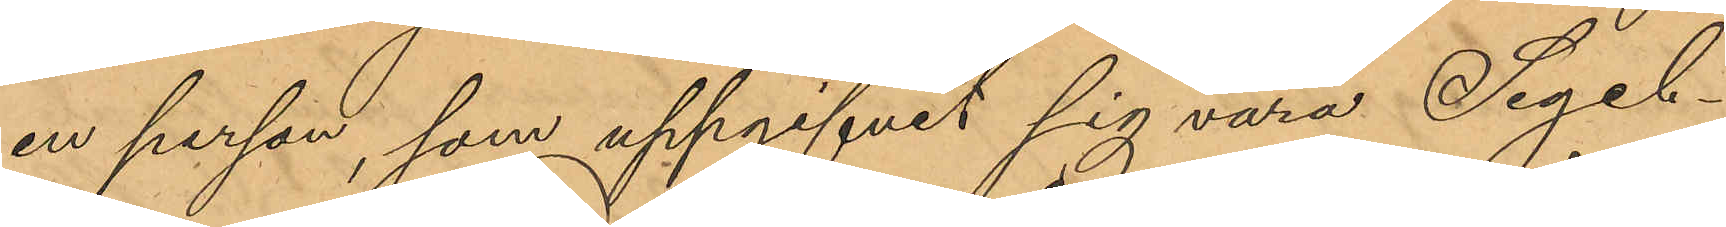en person, som uppgifvit sig vara Segel¬
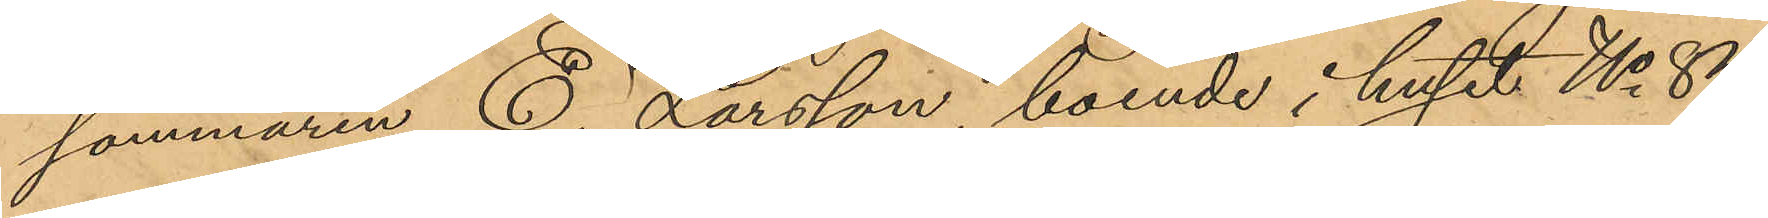sömmaren E. Larsson, boende i huset No 84
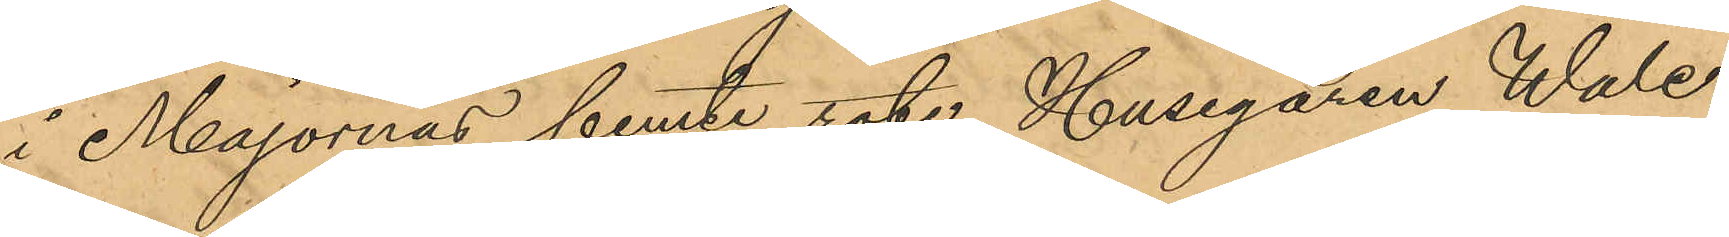i Majornas femte rote, Husegaren Wale¬
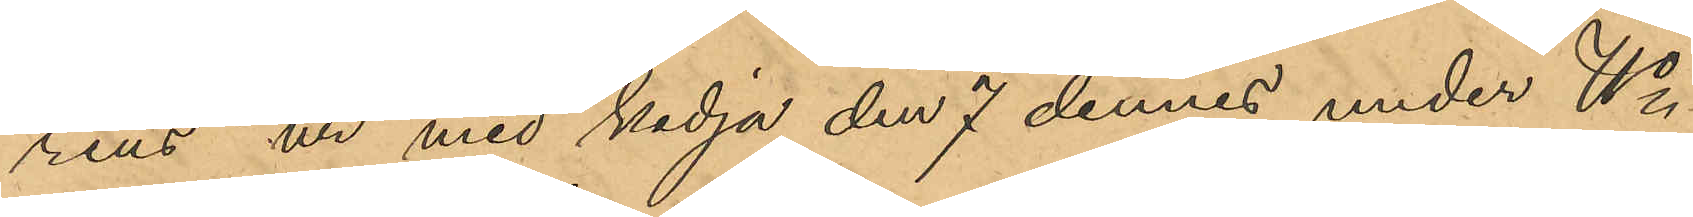rius´ ur med kedja den 7 dennes under No
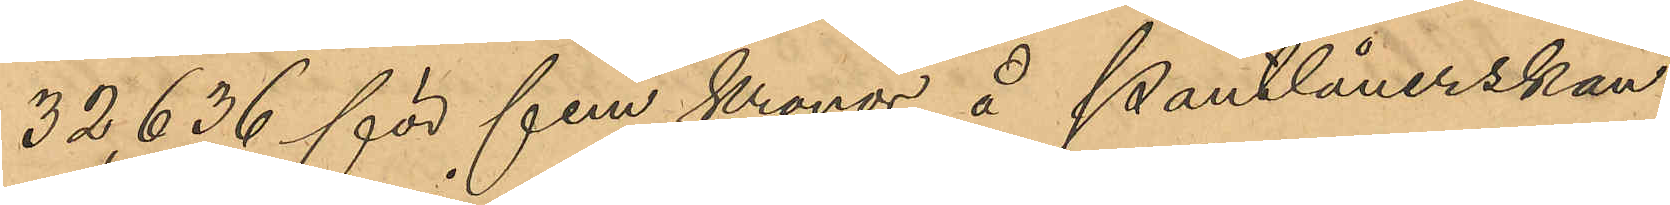32,636 för fem kronor å Pantlånerskan
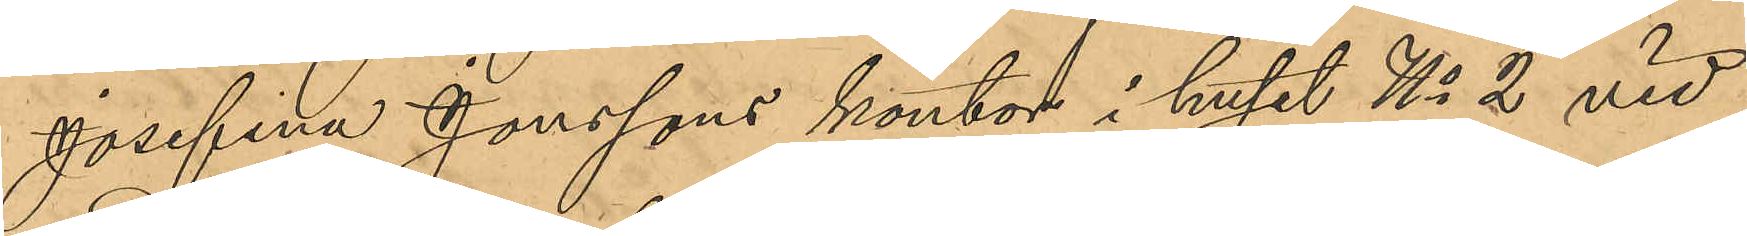Josefina Jonssons kontor i huset No 2 vid
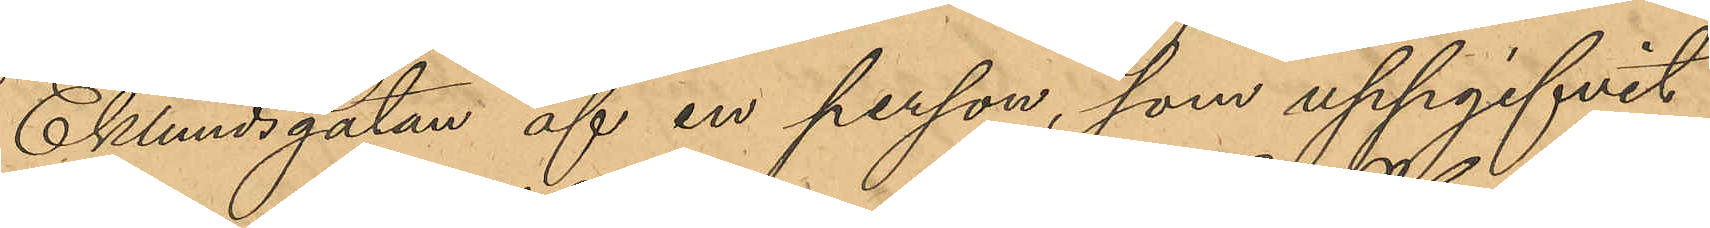Eklundsgatan af en person, som uppgifvit
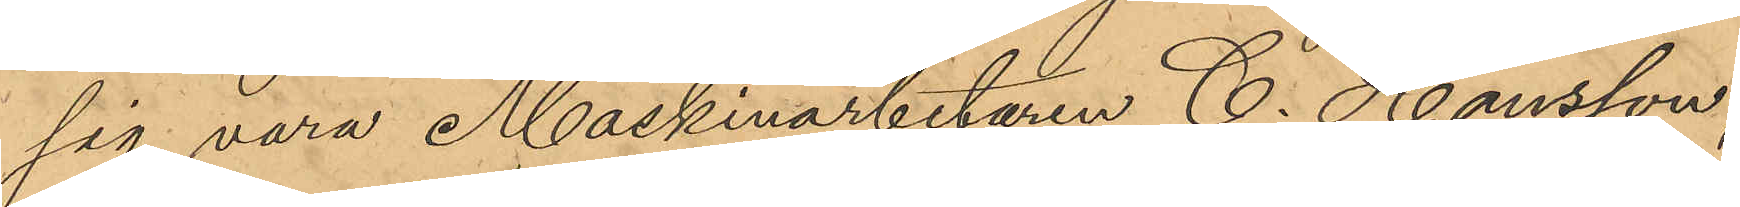sig vara Maskinarbetaren C. Hansson,
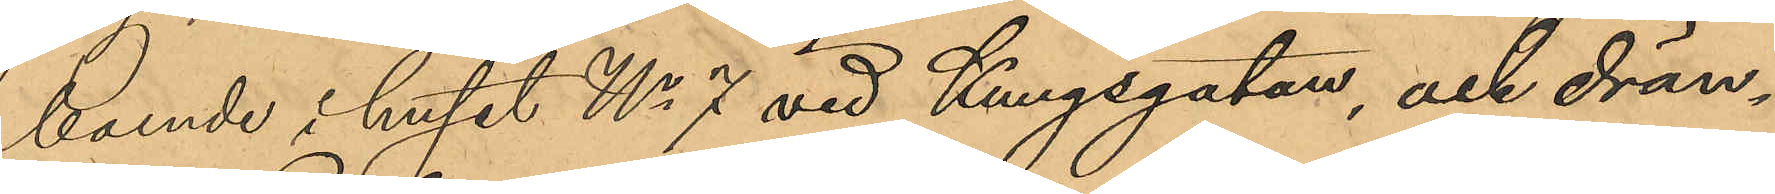boende i huset No 7 vid Kungsgatan, och drän¬
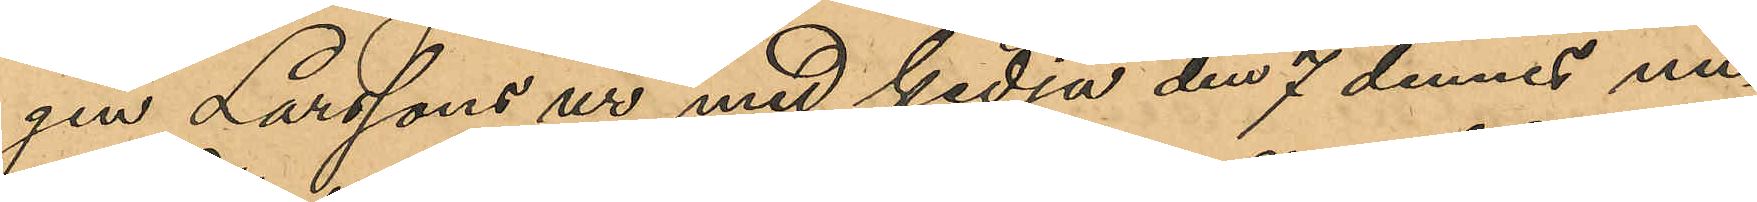gen Larssons ur med kedja den 7 dennes un¬
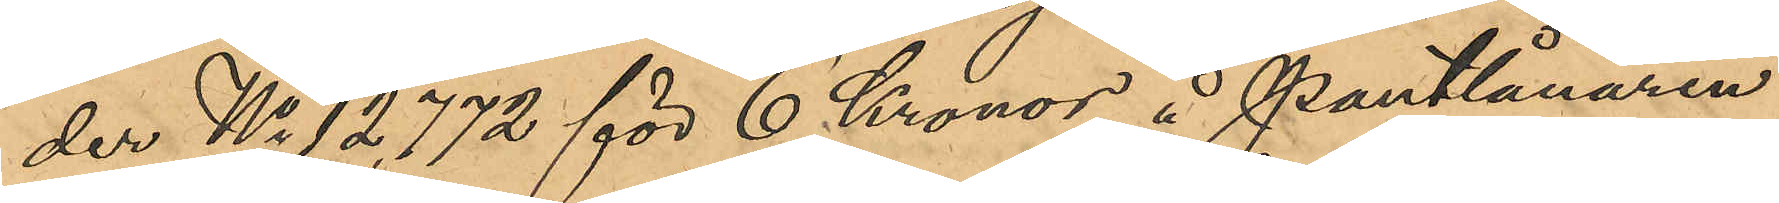der No 12,772 för 6 Kronor å Pantlånaren
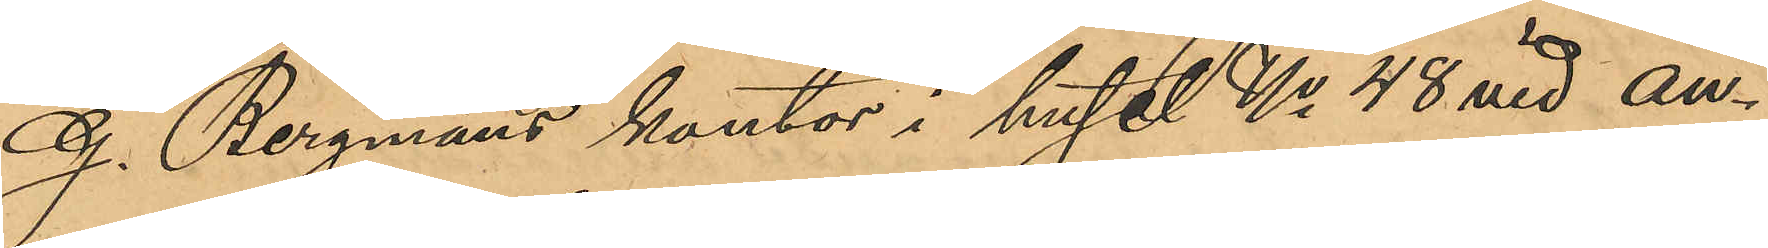G. Bergmans kontor i huset No 48 vid an¬
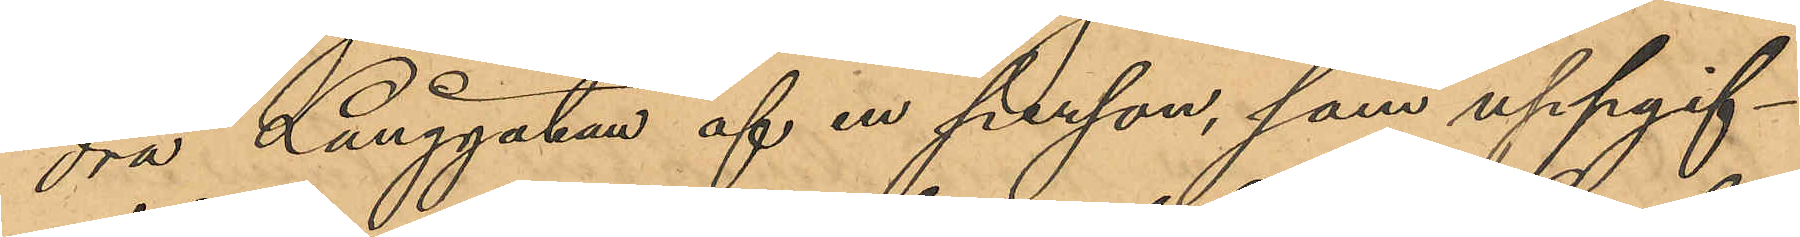dra Långgatan af en person, som uppgif¬
